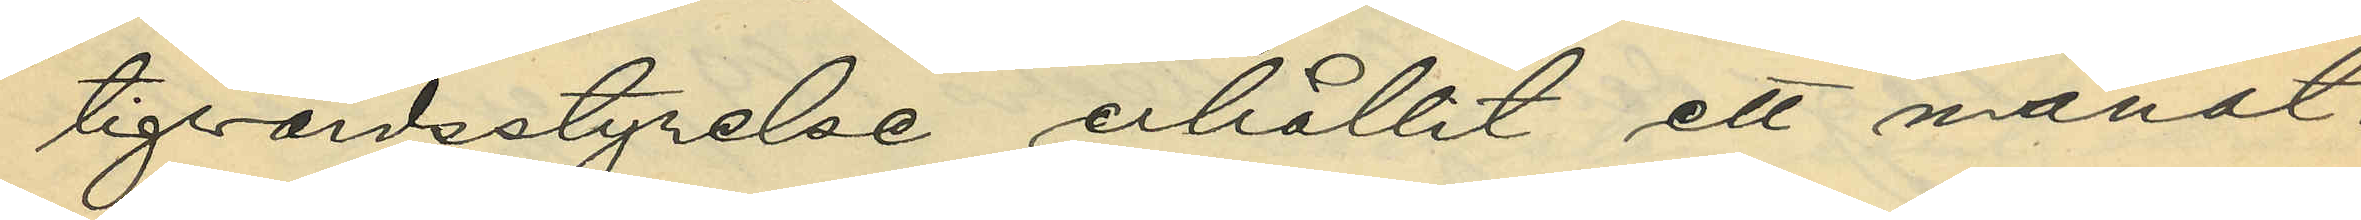tigvårdsstyrelse erhållit ett månat¬
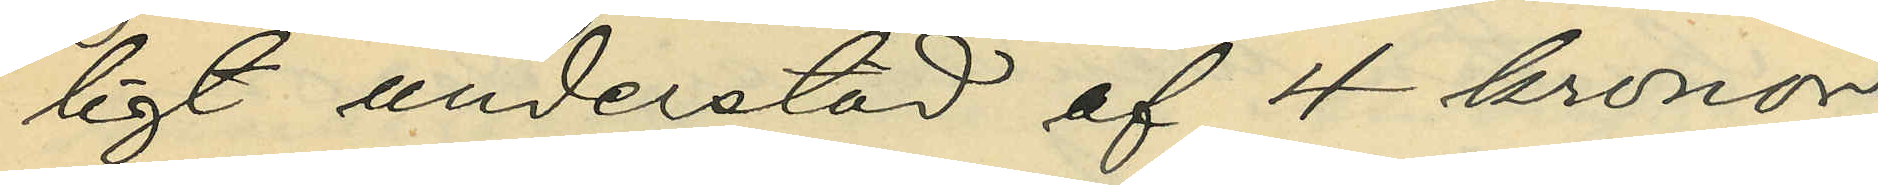ligt understöd af 4 kronor;
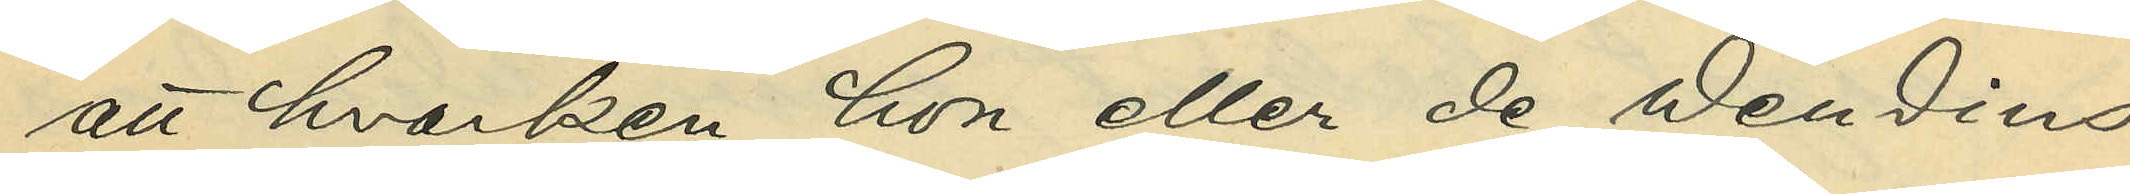att hvarken hon eller de Wendins
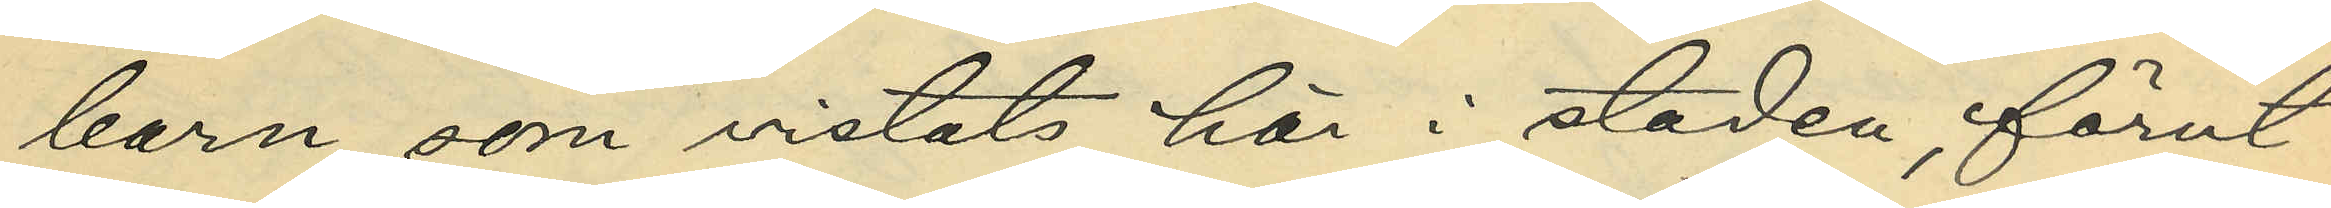barn, som vistats här i staden, förut
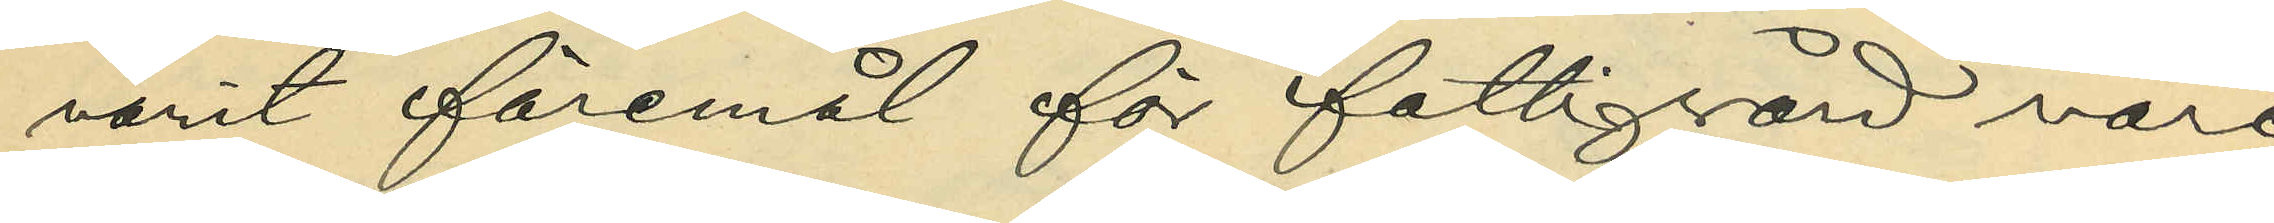varit föremål för fattigvård vare
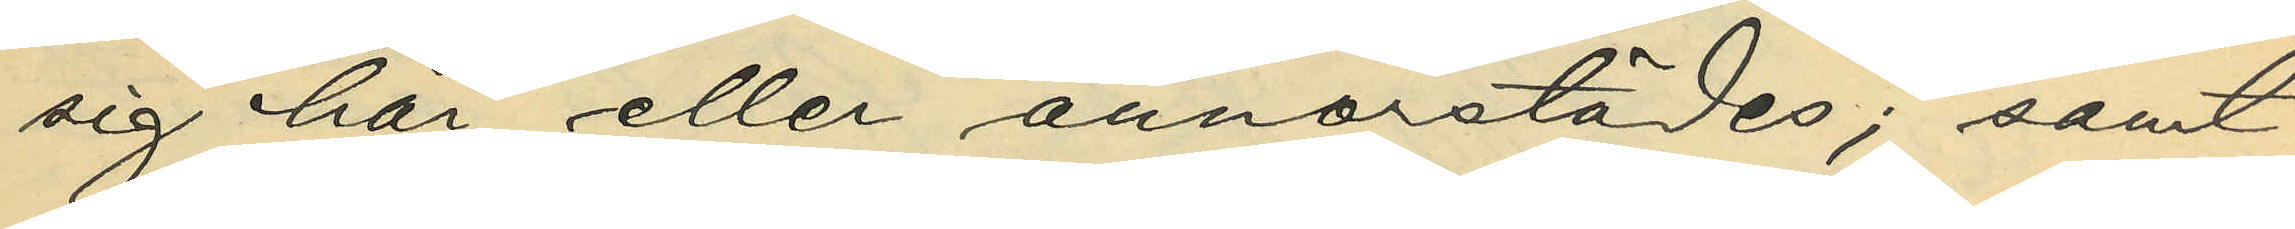sig här eller annorstädes; samt
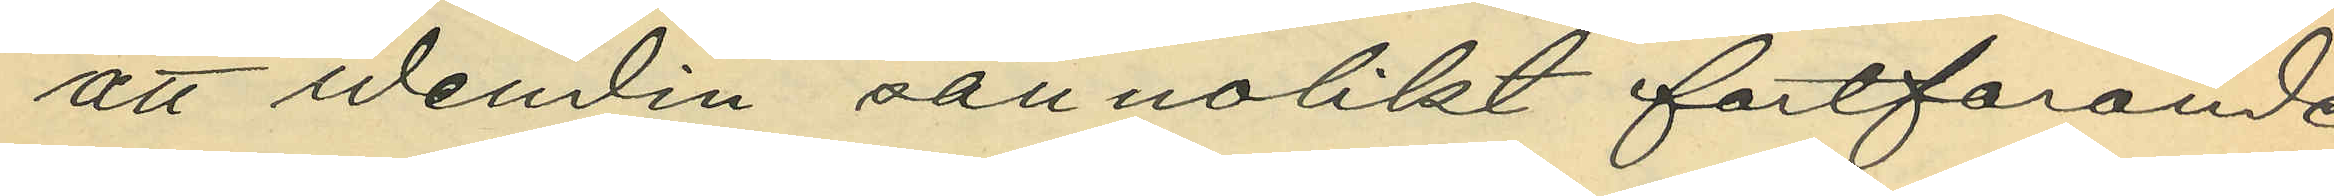att Wendin sannolikt fortfarande
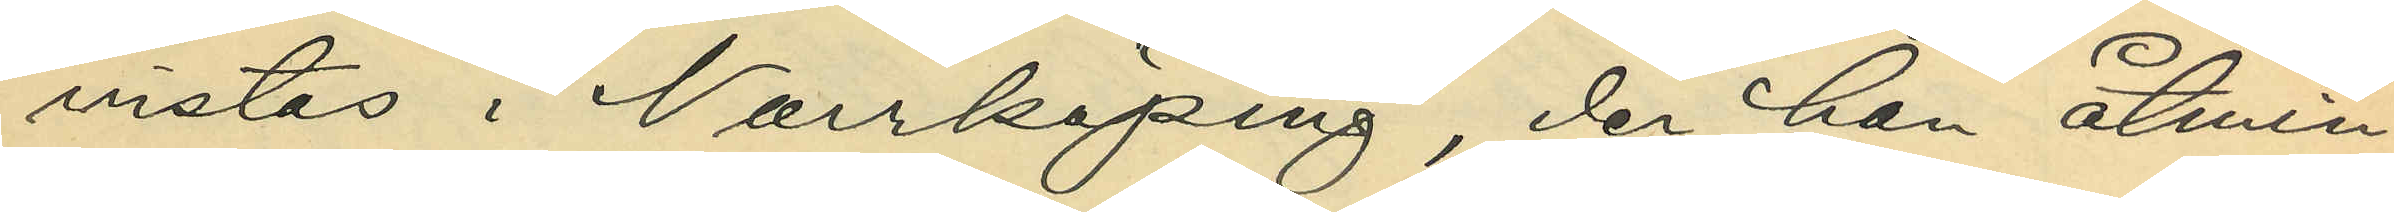vistas i Norrköping, der han åtmin¬
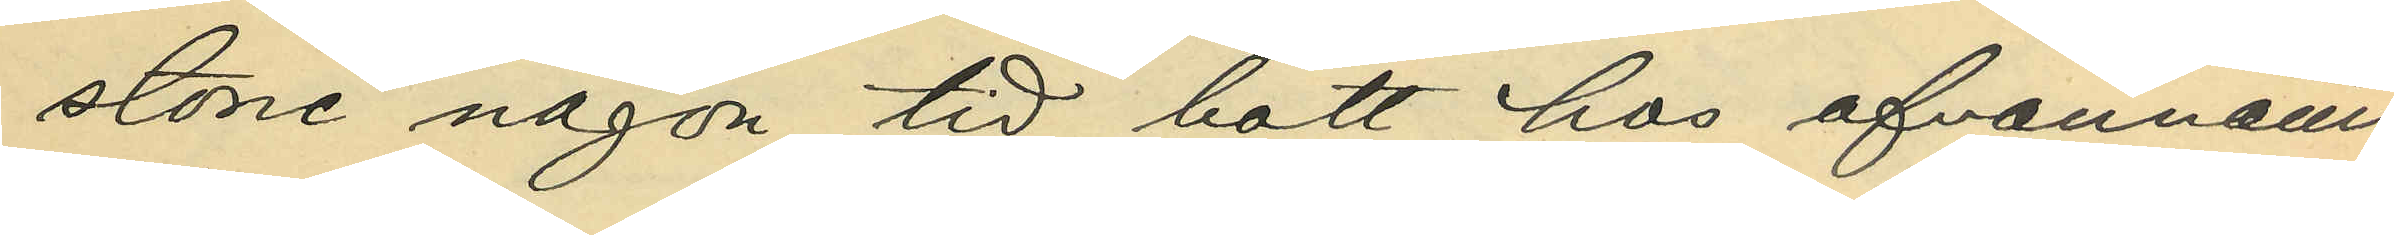stone någon tid bott hos ofvannämn¬
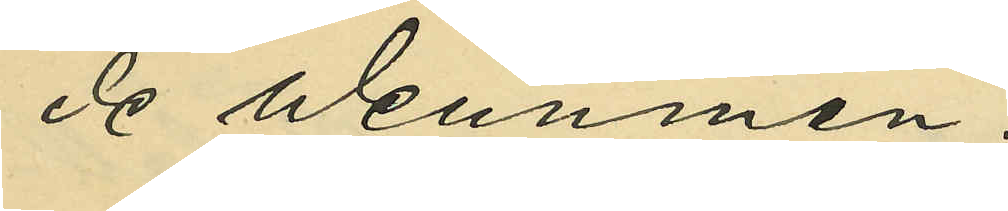de Wennman.
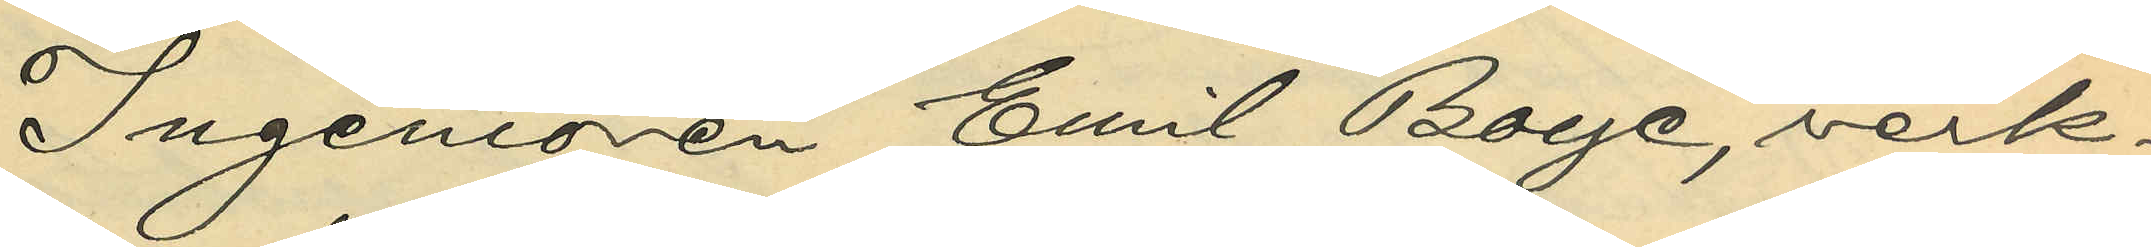Ingenjören Emil Boye, verk¬
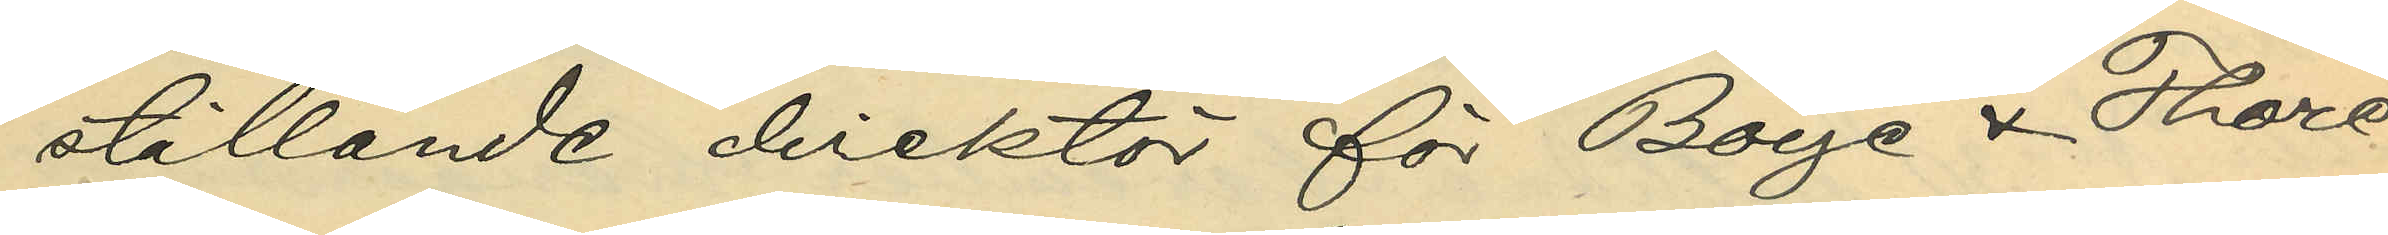ställande direktör för Boye & Thore¬
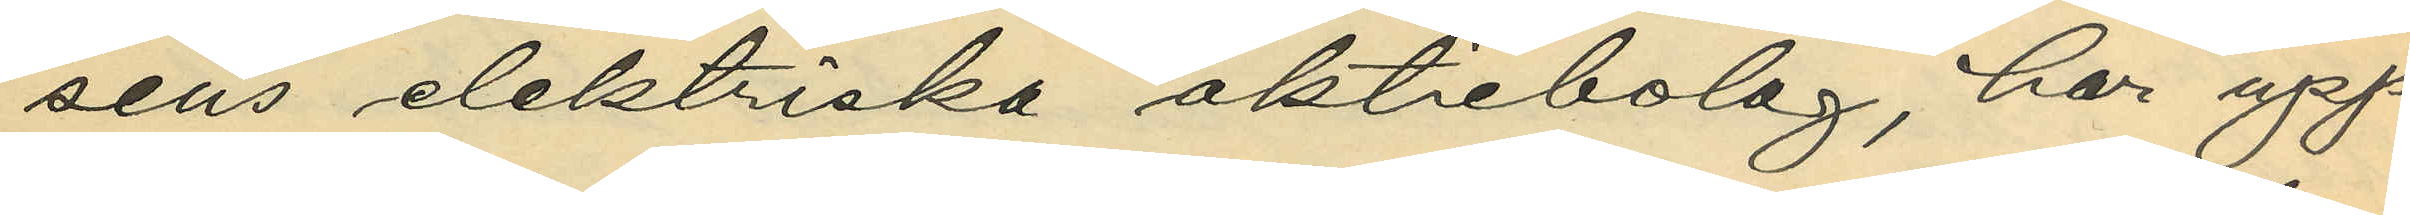sens elektriska aktiebolag, har upp¬
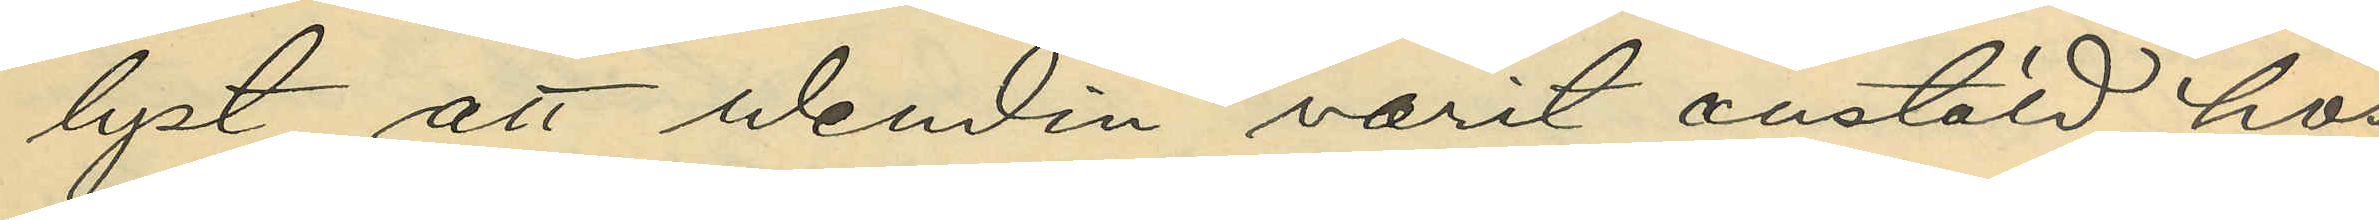lyst, att Wendin varit anstäld hos
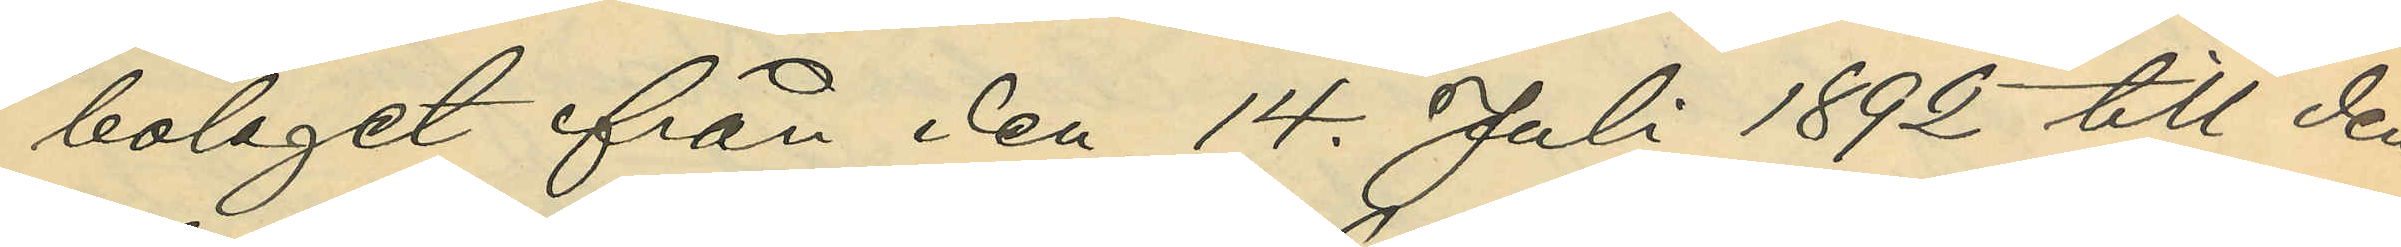bolaget från den 14. Juli 1892 till den
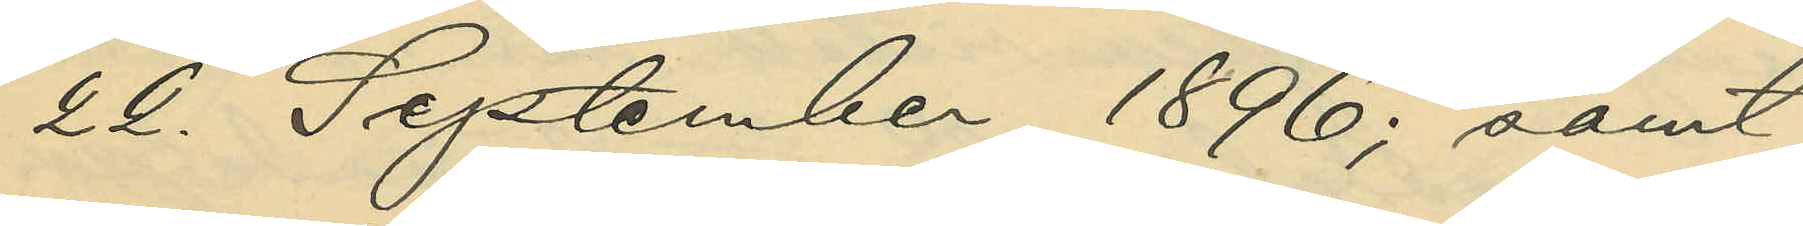22. September 1896; samt
